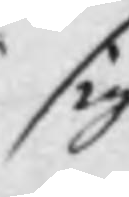sig
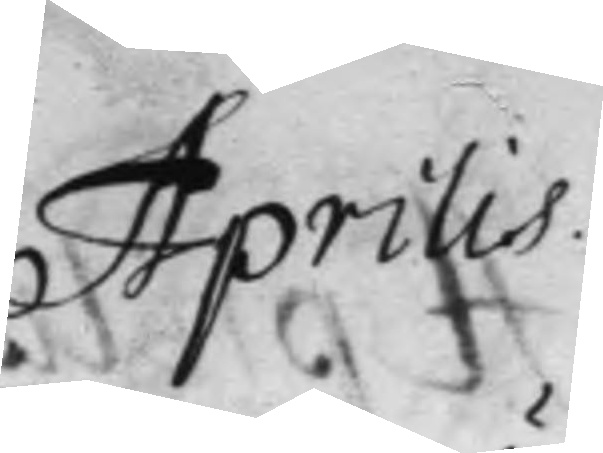Aprilis
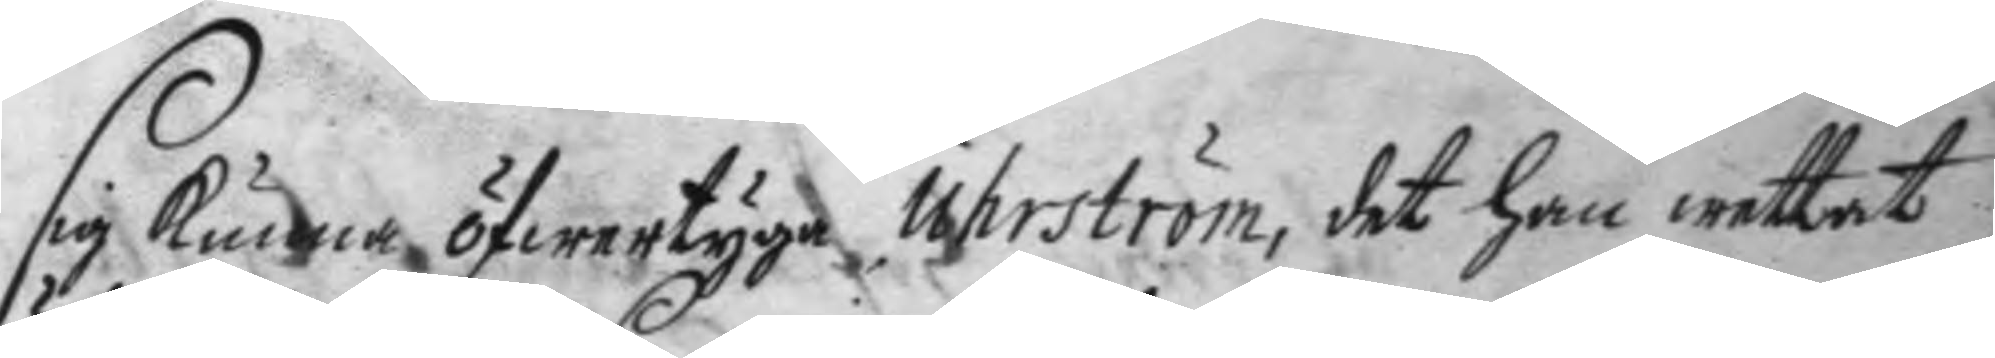sig kunna öfwertyga Uhrström, det han wettat
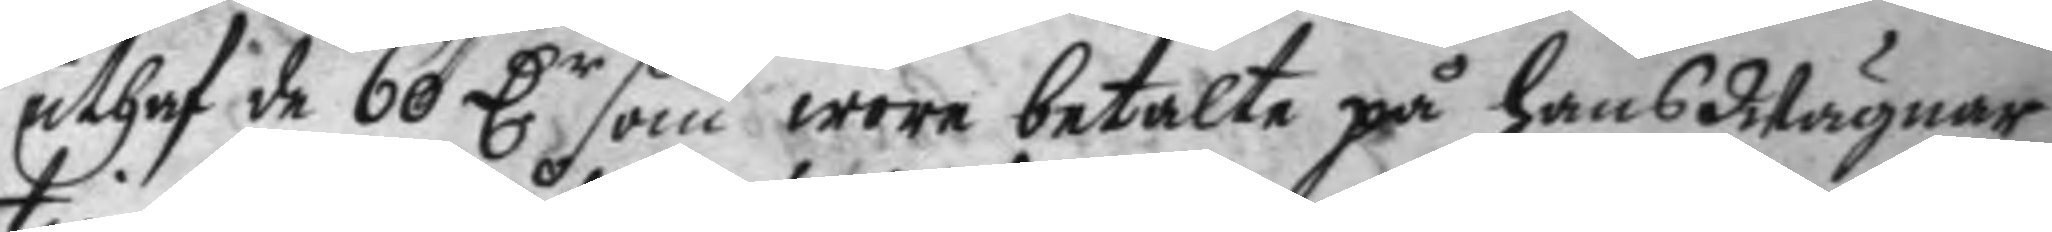uthaf de 60 D.r som wore betalte på hans Wägnar
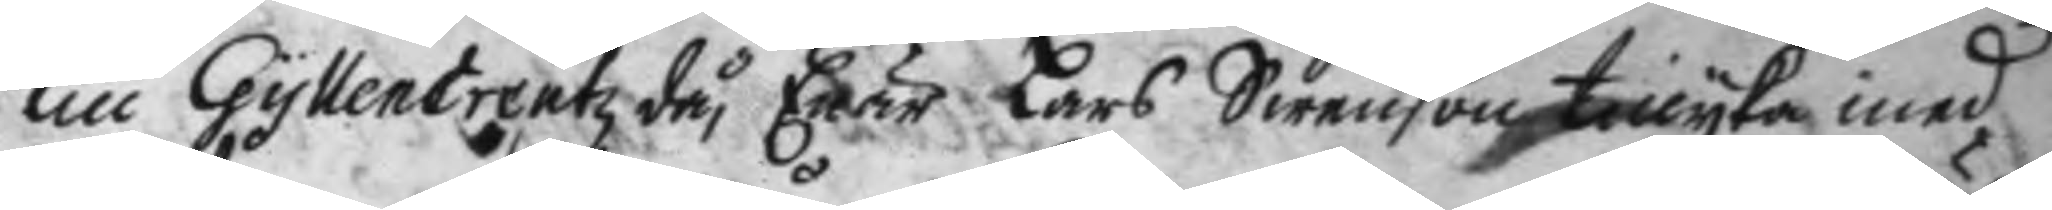till GyllenCreutz, Enär Lars Swenson tillyka med
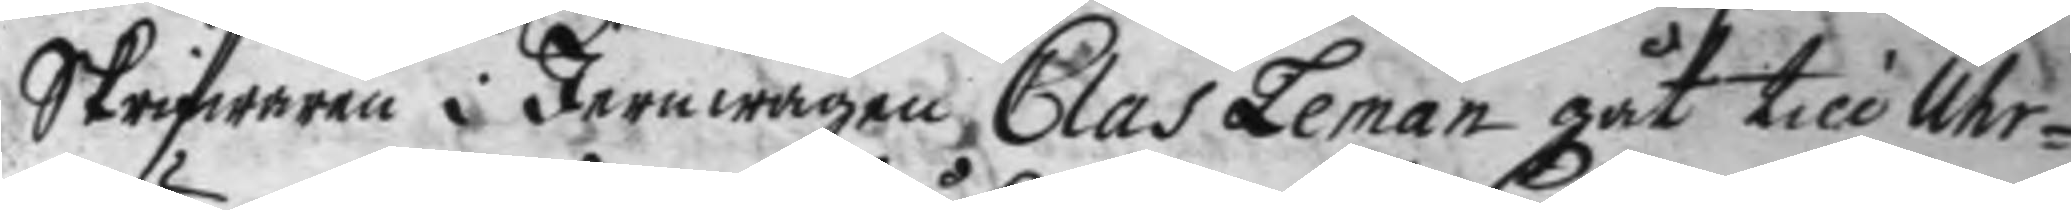Skrifwaren i Jernwågen Clas Leman gåt till Uhr¬
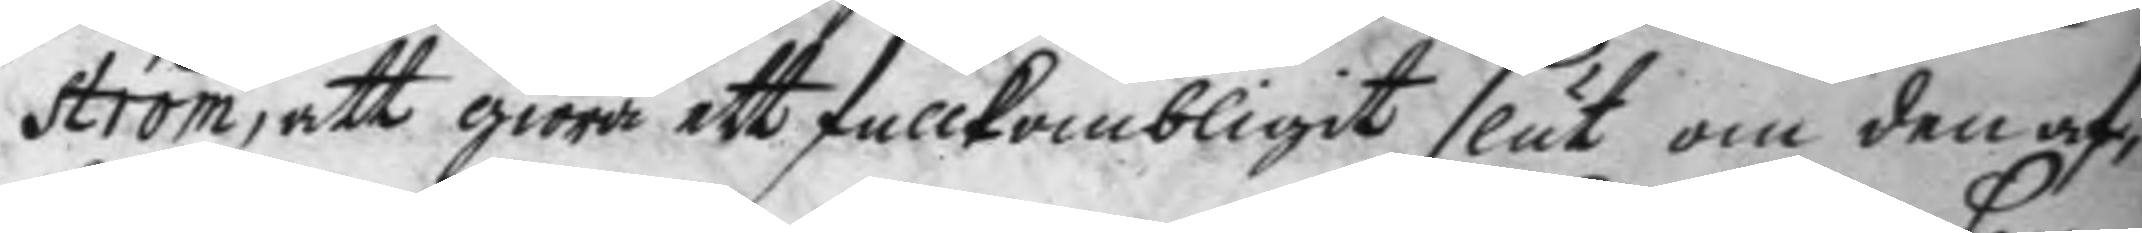ström, att giöra ett fullkombligit slut om den af¬
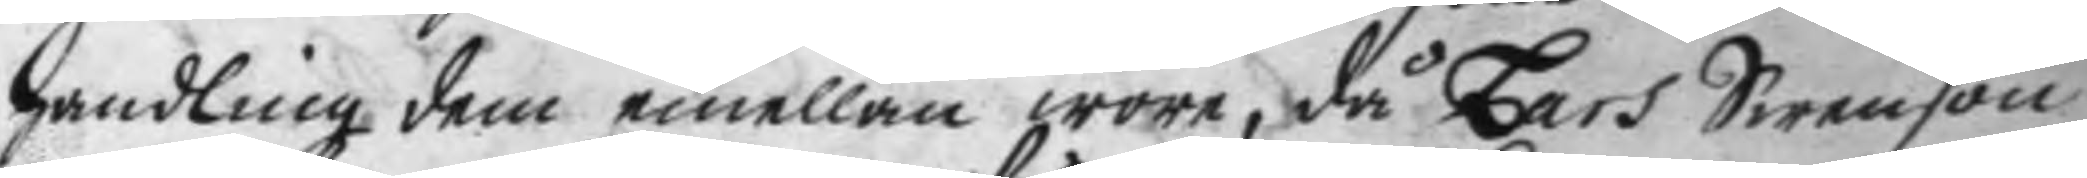handling dem emellan wore, då Lars Swenson
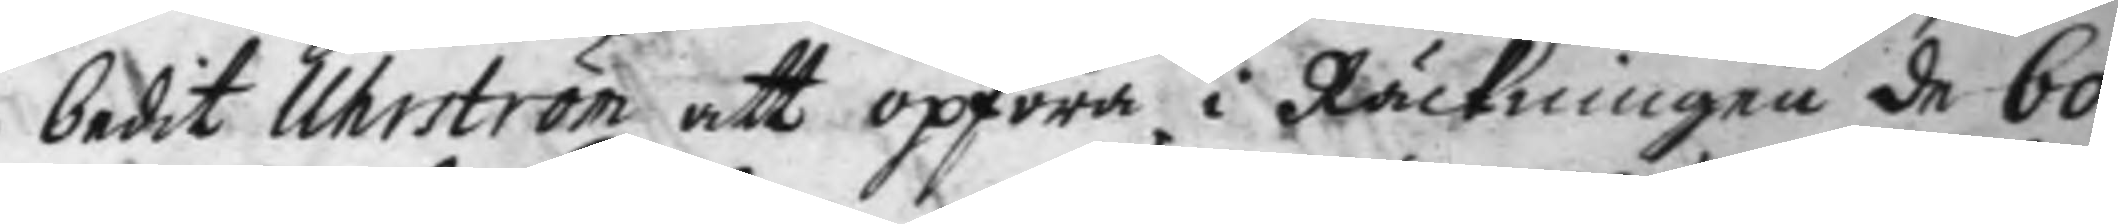bedit Uhrström att opföra i Räckningen de 60
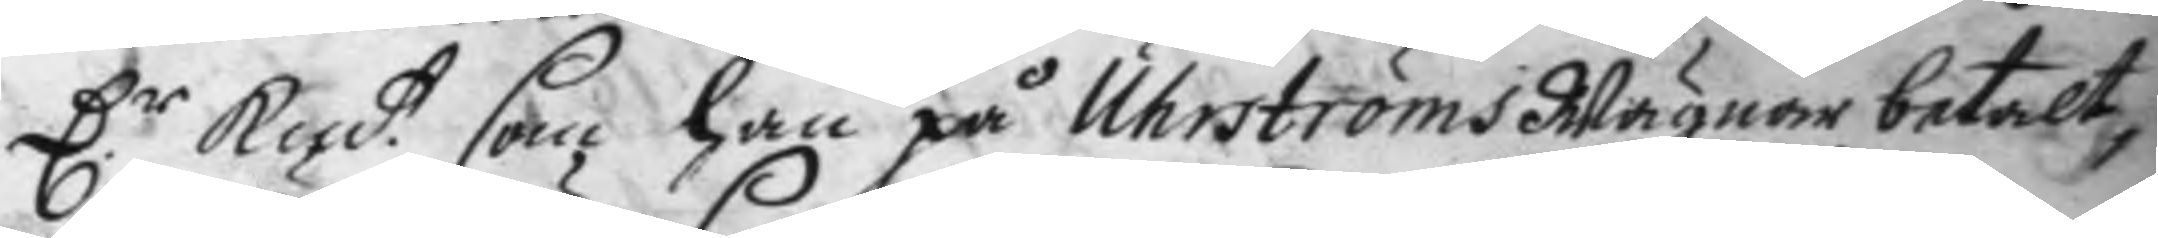D.r kmt som han på Uhrströms Wägnar betalt,
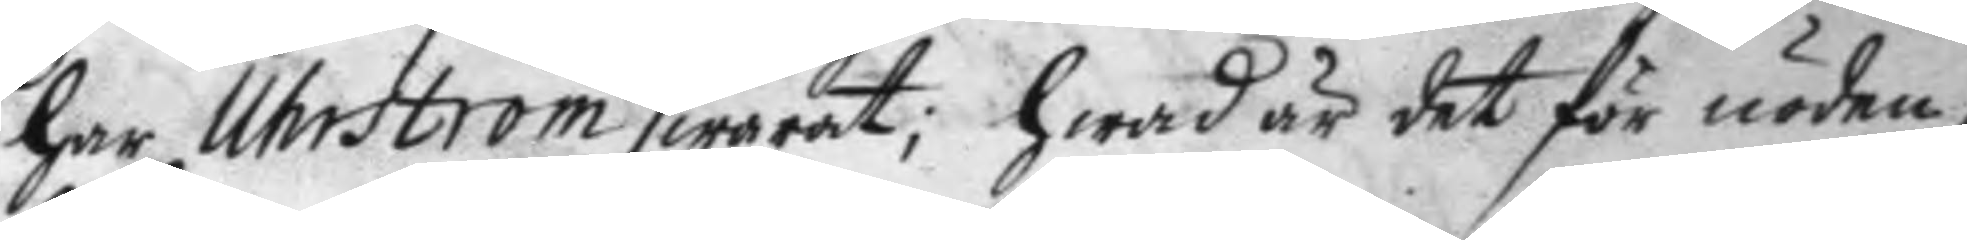har Uhrström swarat; hwad är det för nöden,
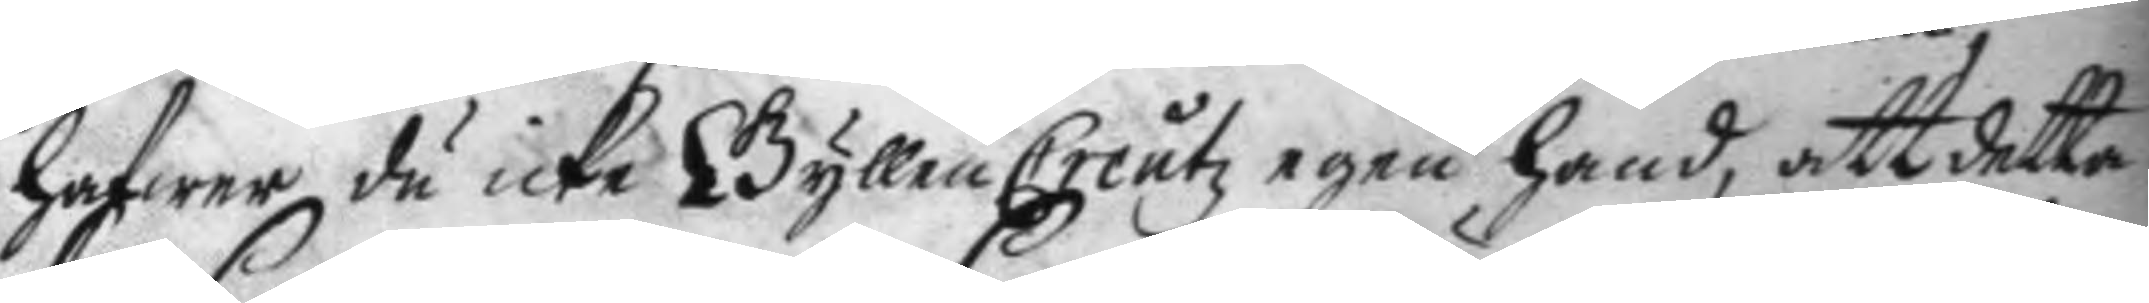hafwer du icke GyllenCreutz egen hand, att detta
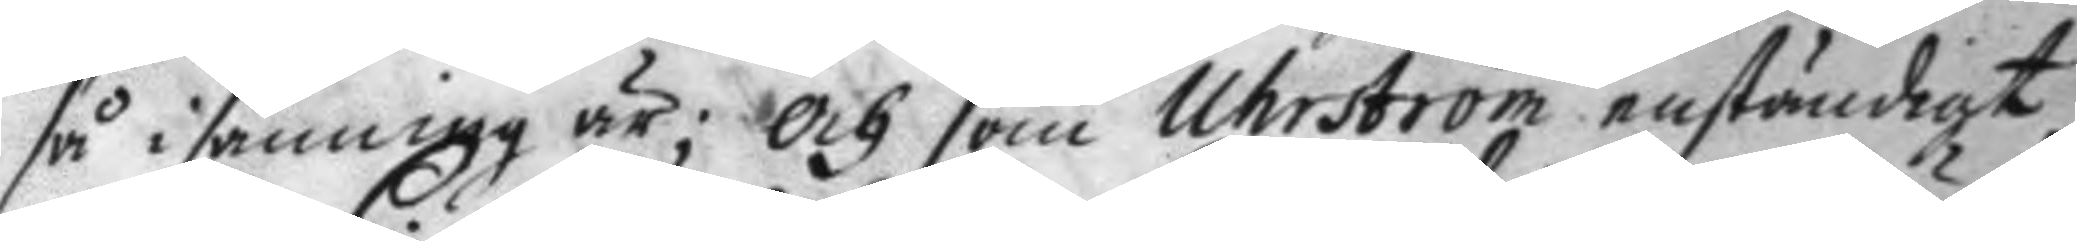så i sanning är; och som Uhrström enständigt
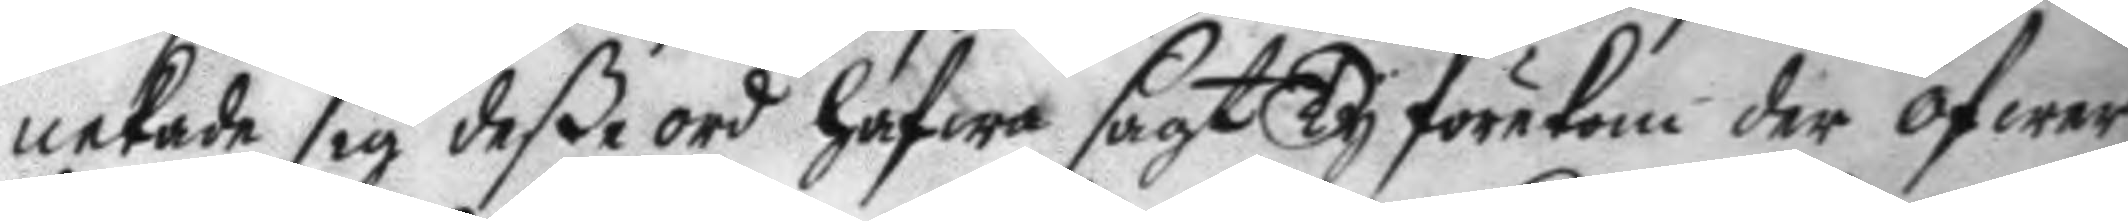nekade sig deße ord hafwa sagt Ty förekom der öfwer
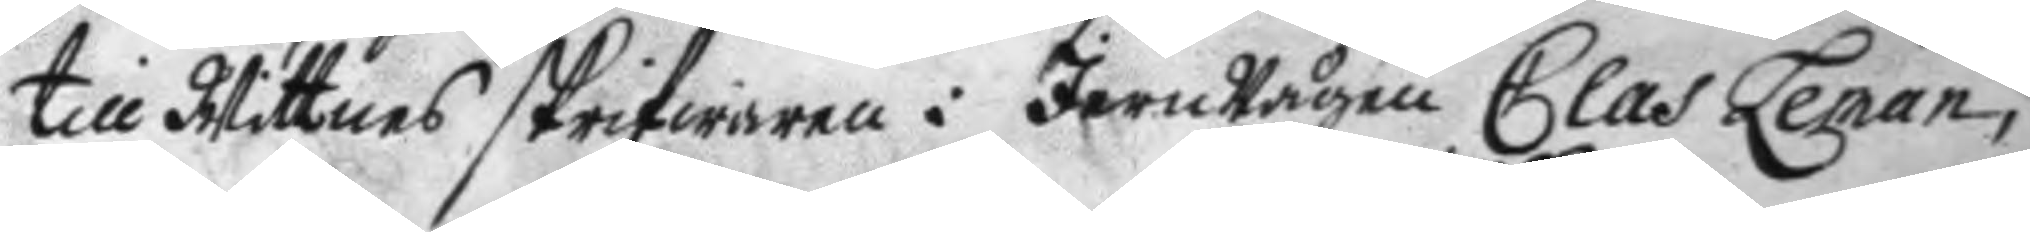till Wittnes skrifwaren i JernWågen Clas Leman,
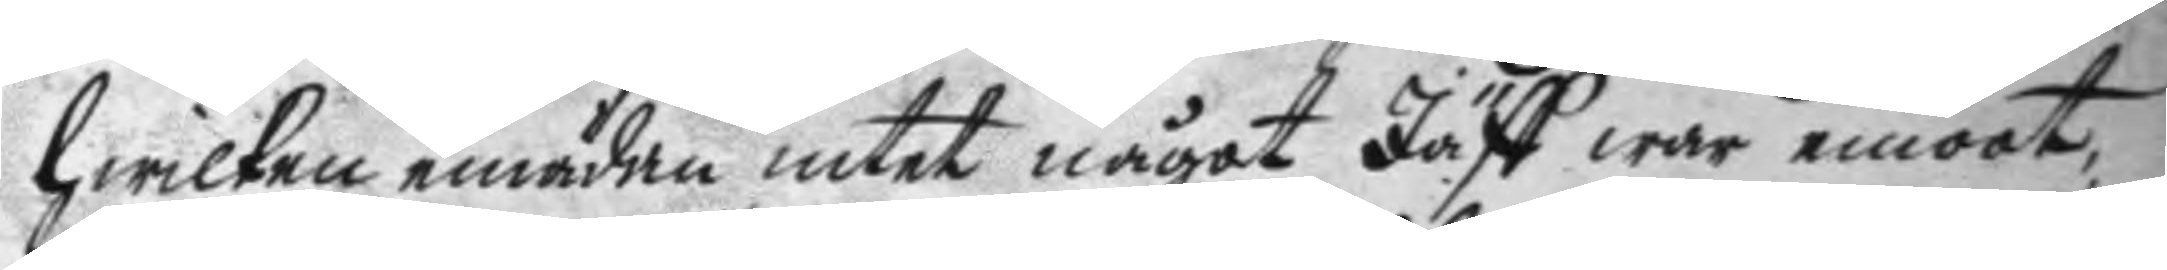hwilken emädan intet något Jäff war emoot,
